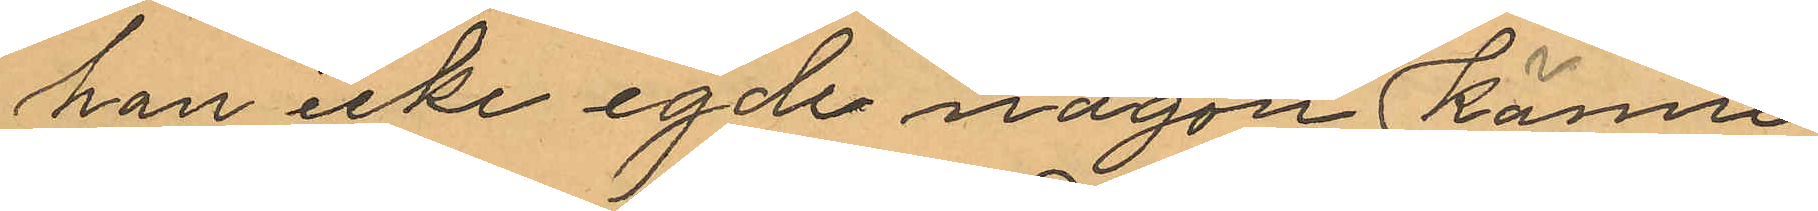han icke egde någon känne¬
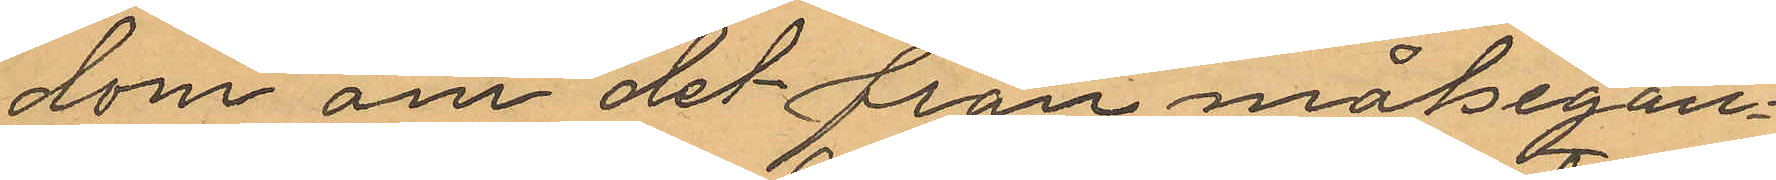dom om det från målegan¬
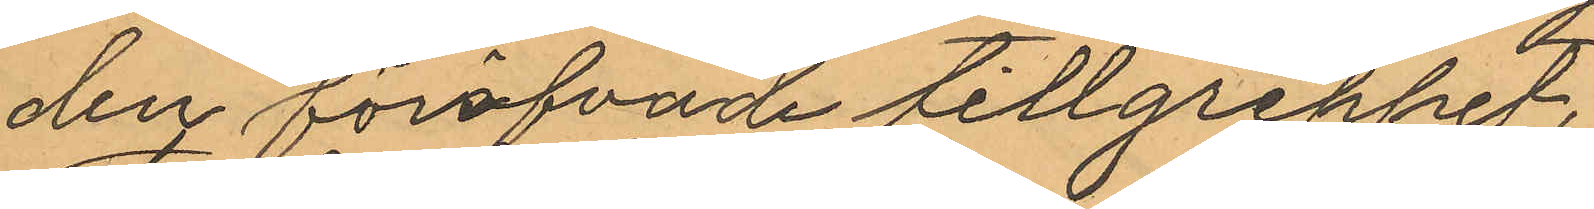den föröfvade tillgreppet.
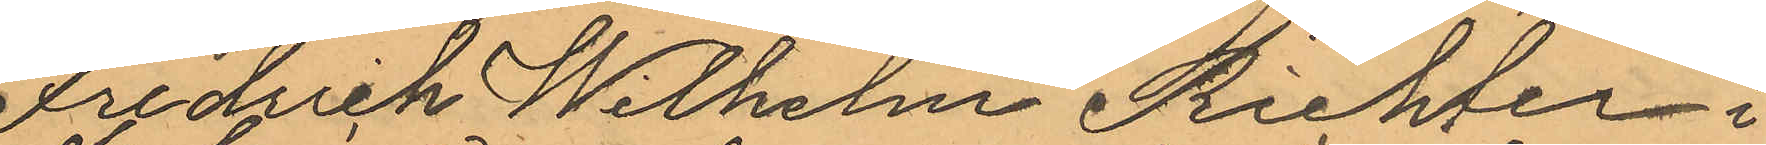Fredrich Wilhelm Richter i
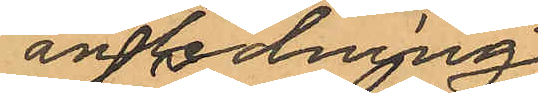anledning
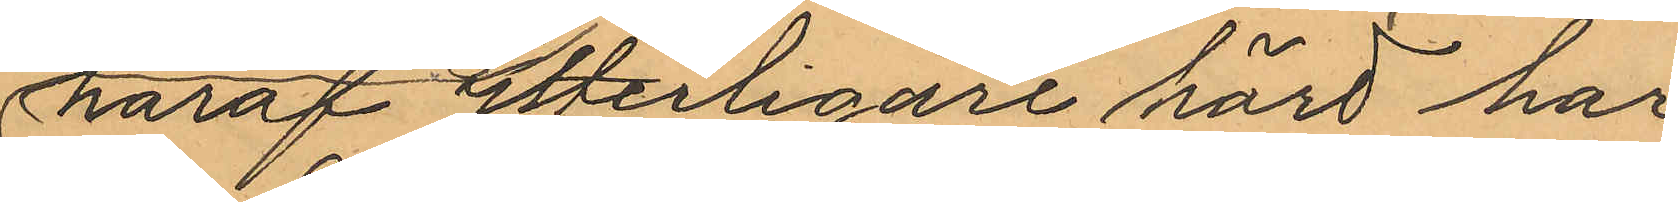häraf ytterligare hörd har
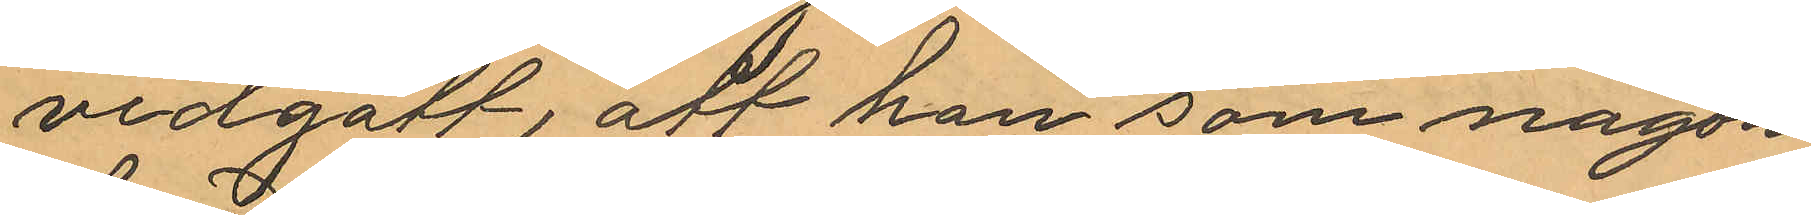vidgått, att han som någon
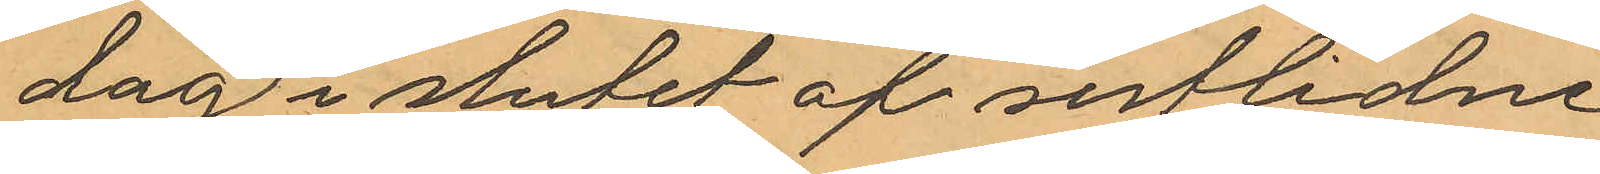dag i slutet af sistlidne
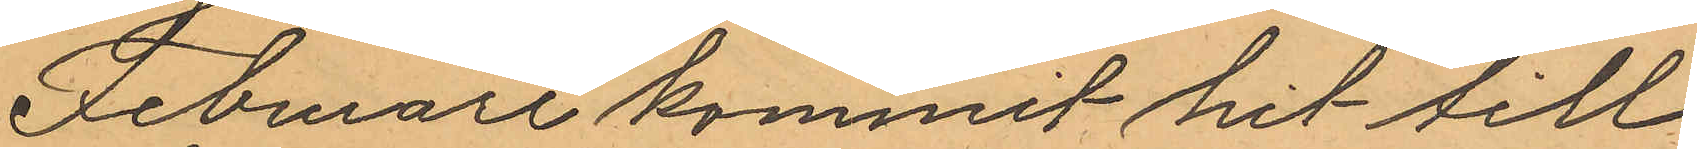Februari kommit hit till
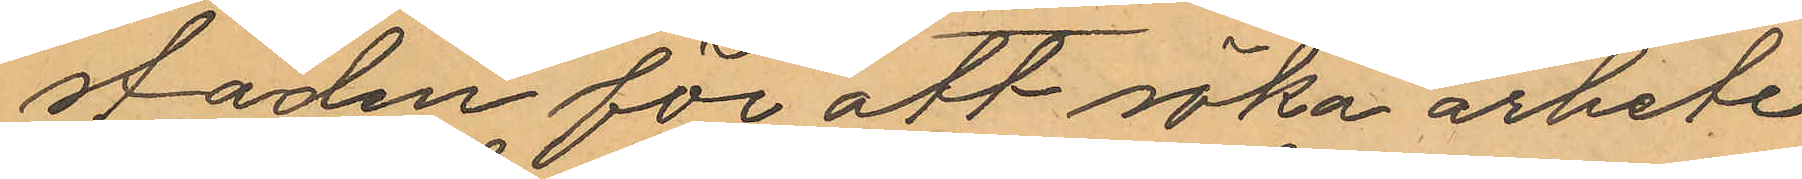staden för att söka arbete
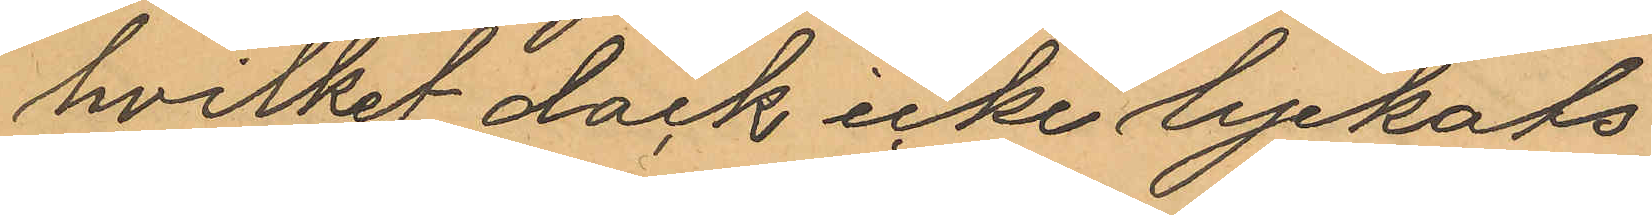hvilket dock icke lyckats
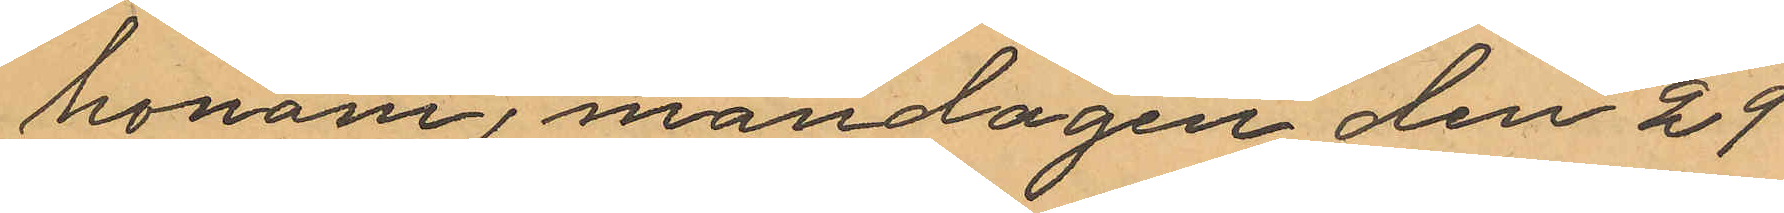honom, måndagen den 29
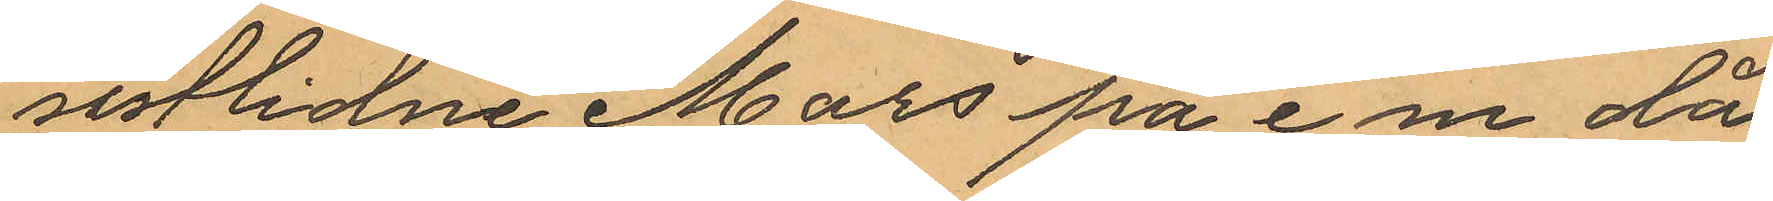sistlidne Mars på e.m. då
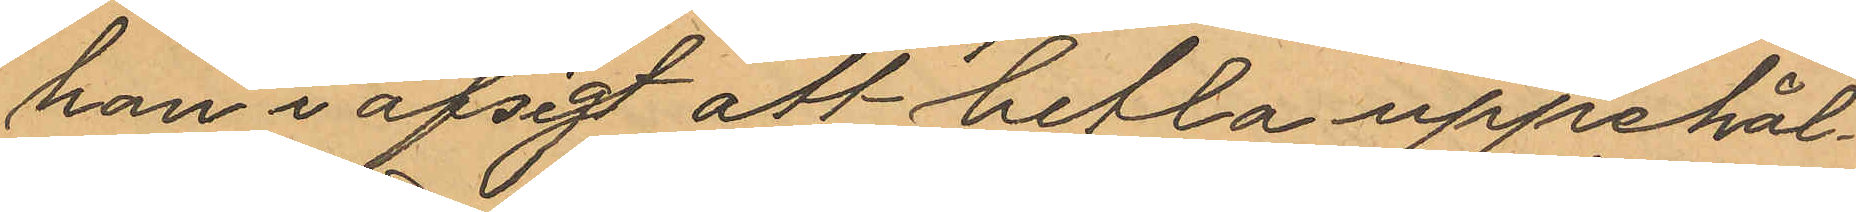han i afsigt att betla uppehål¬
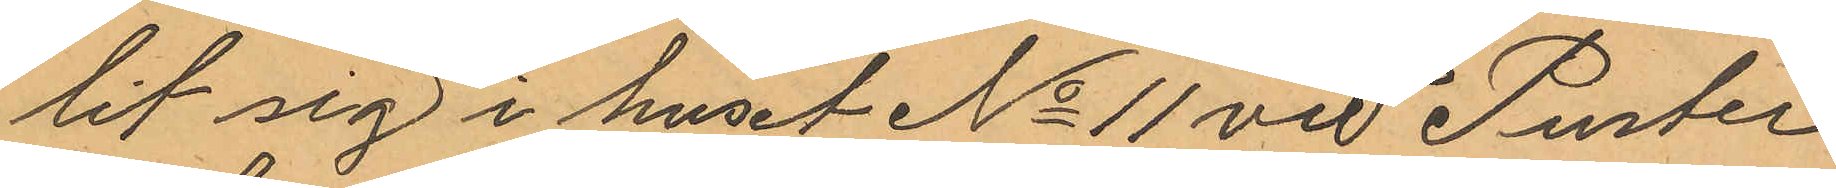lit sig i huset No 11 vid Puster¬
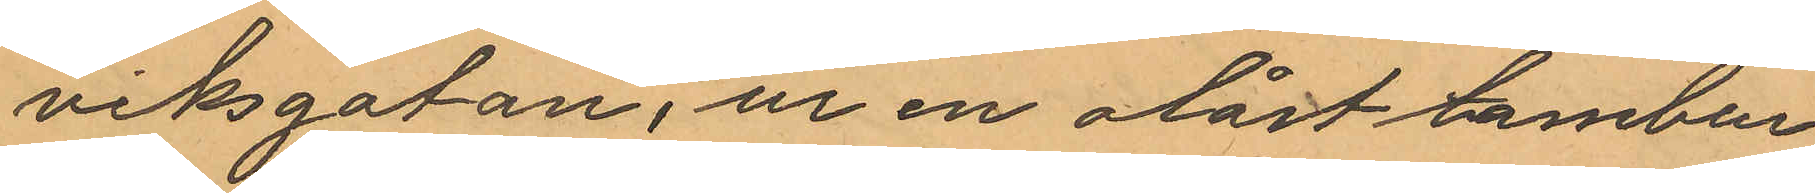viksgatan, ur en olåst tambur
